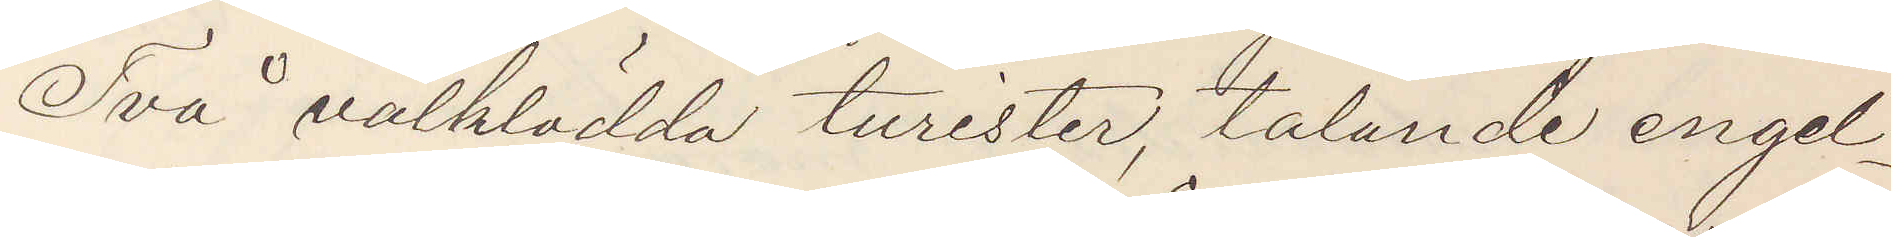Två välklädda turister, talande engel¬
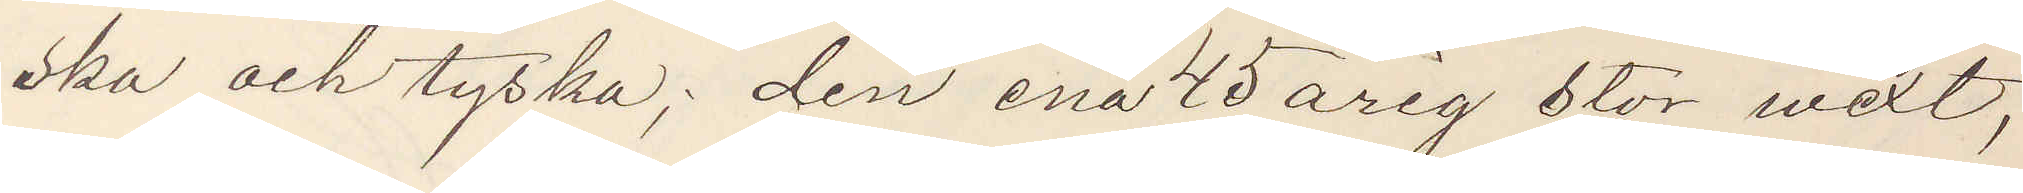ska och tyska; den ena 45 årig stor wext,
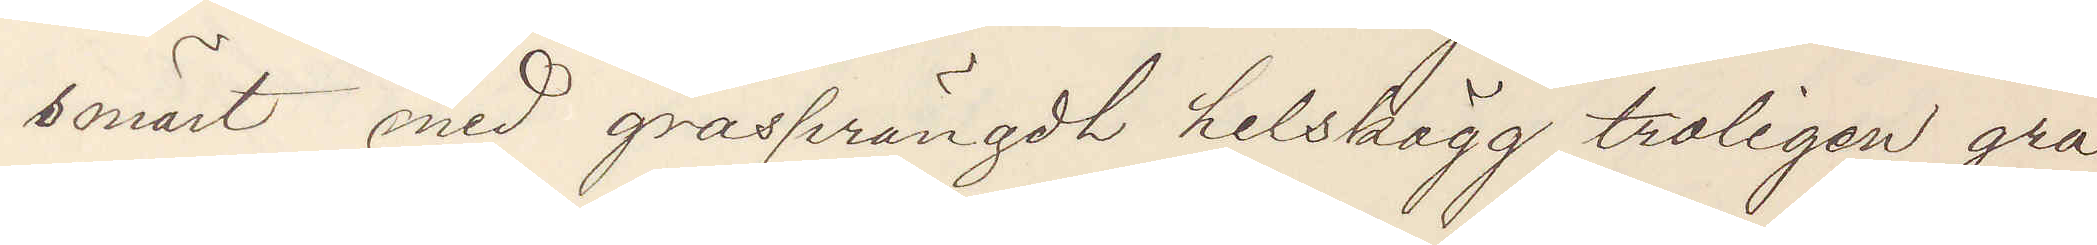smärt med gråsprängdt helskägg troligen grå
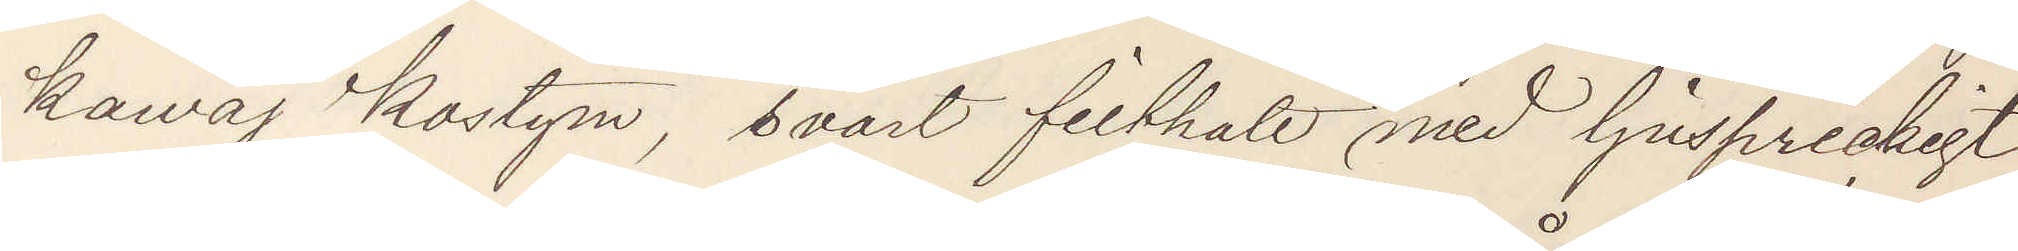kavaj kostym, svart filthatt med ljusprickigt
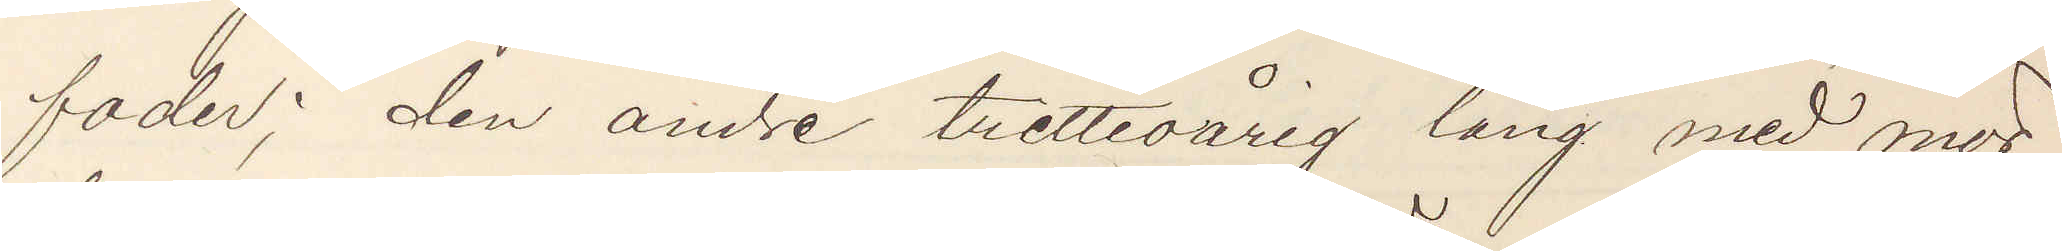foder; den andre trettioårig lång med mör¬
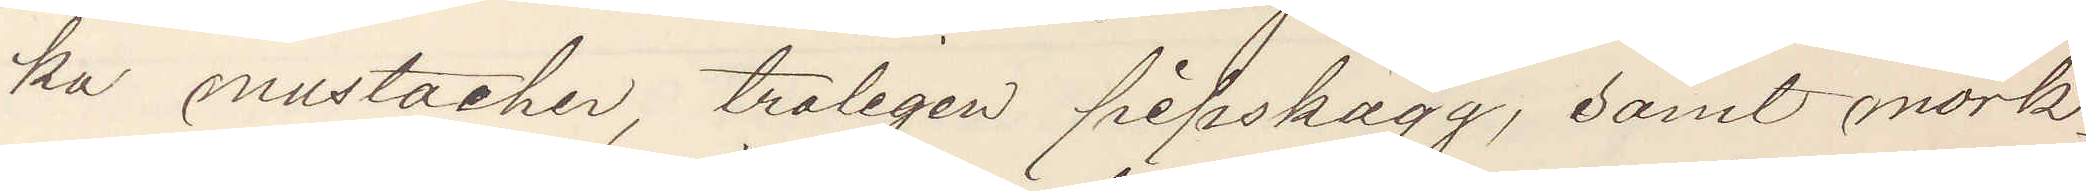ka mustacher, troligen pipskägg, samt mörk¬
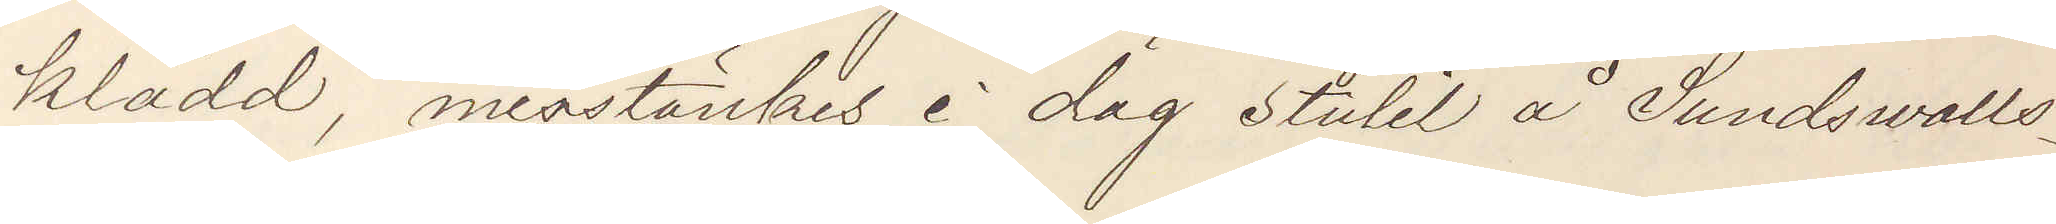klädd, misstänkes i dag stulit å Sundsvalls¬
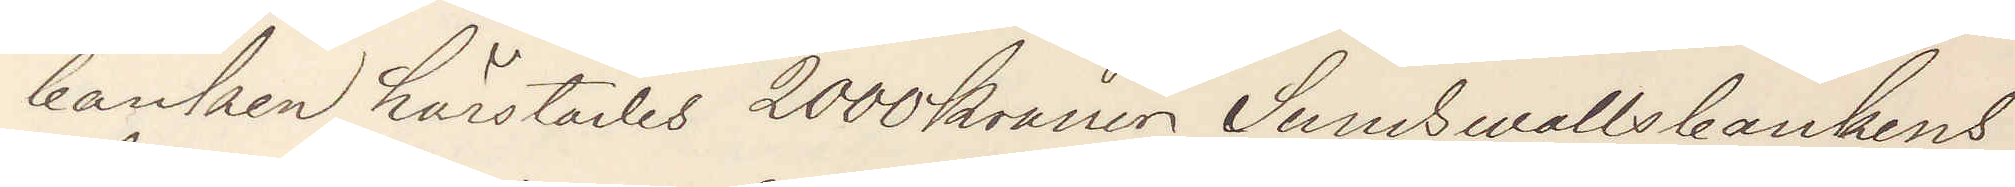banken härstädes 2000 kronor Sundswallsbankens
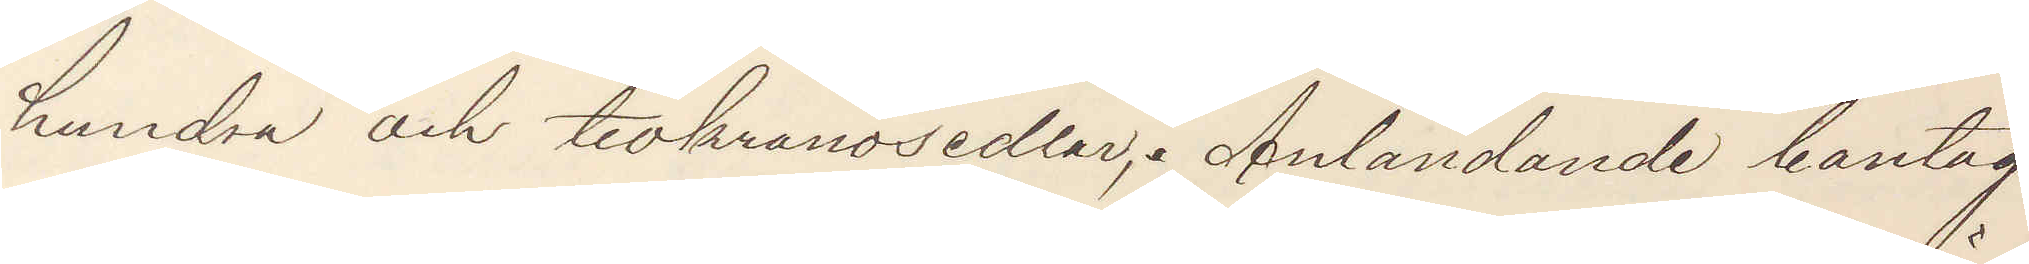hundra och tiokronosedlar; Anländande bantåg
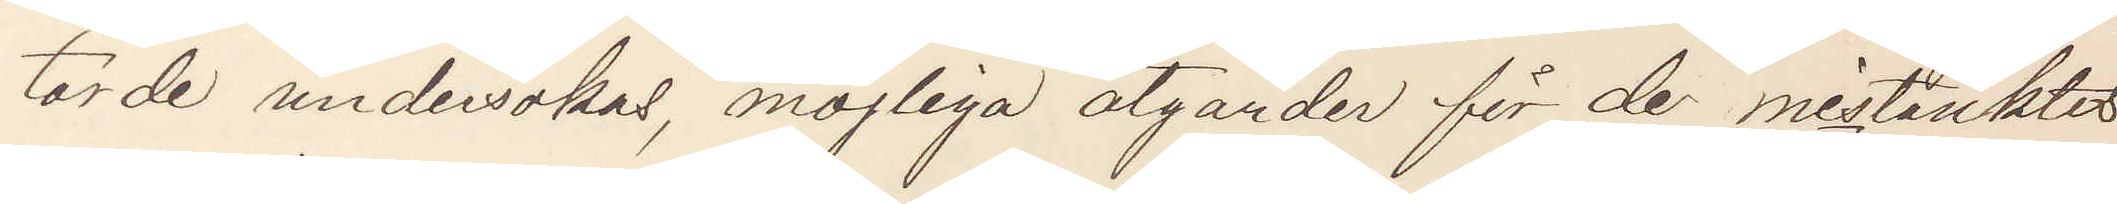torde undersökas, möjliga åtgärder för de misstänktes
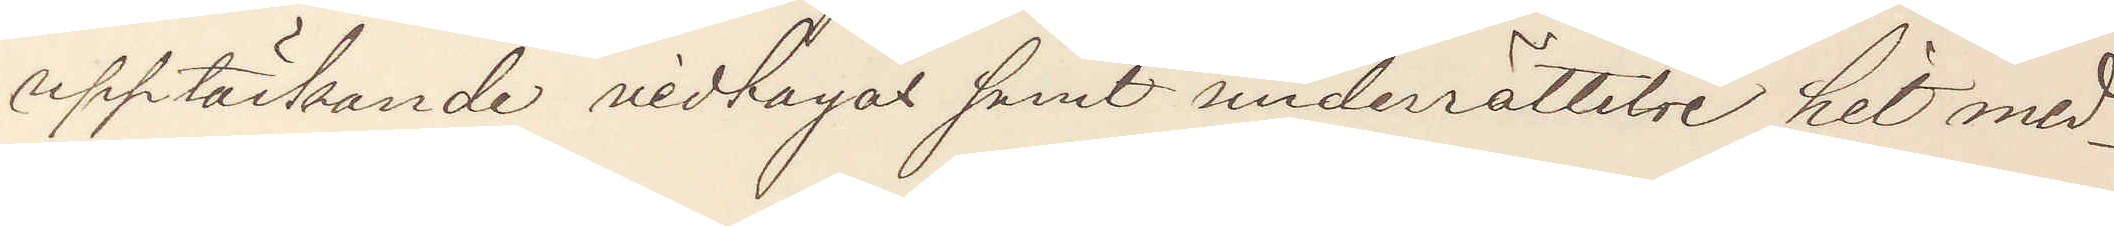upptäckande vidtagas samt underrättelse hit med¬
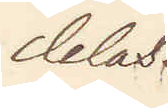delas.
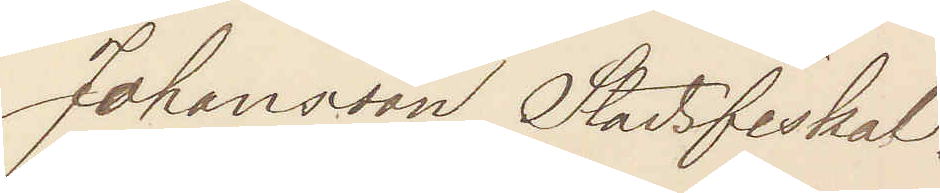Johansson Stadsfiskal.
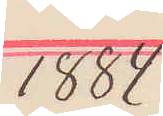1884
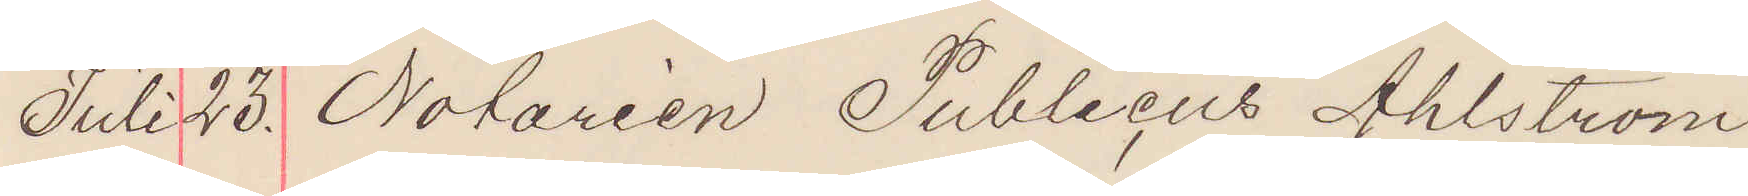Juli 23. Notarien Publicus Ahlström
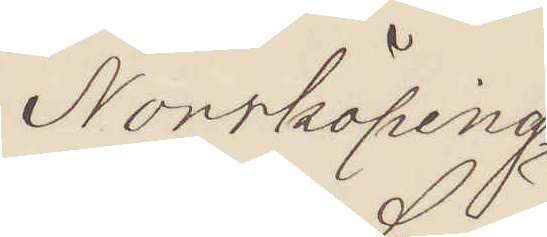Norrköping
